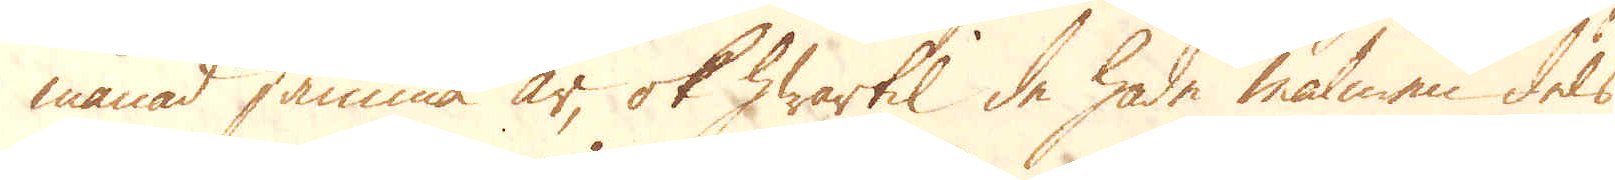månad samma år, ok hwartil de hade malmen dels
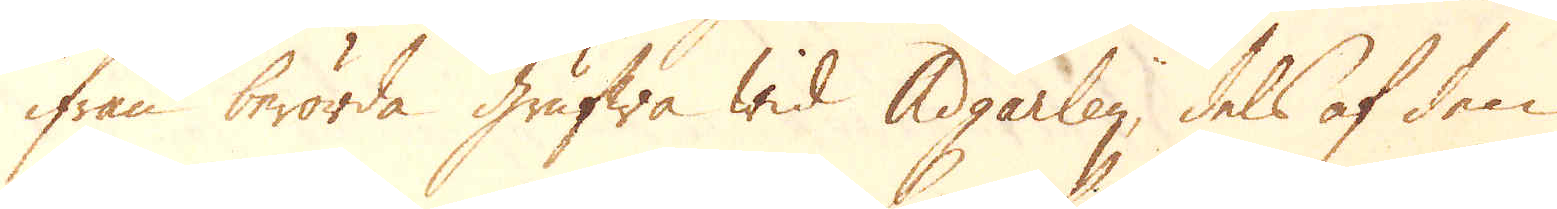ifrån berörda Grufwa wid Adgarley, dels af den
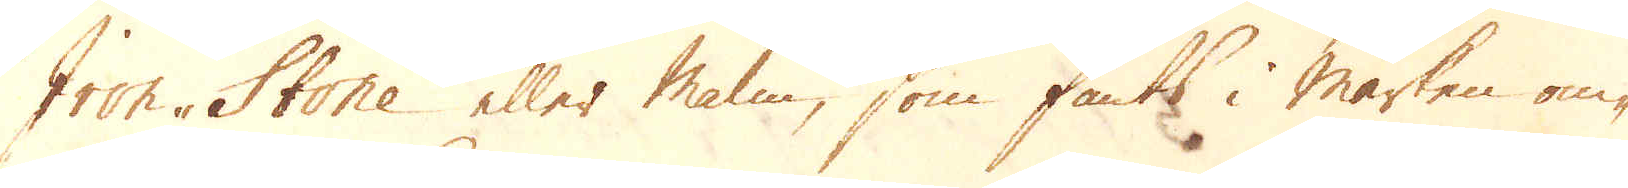Iron-Stone eller Malm, som fants i marken om-
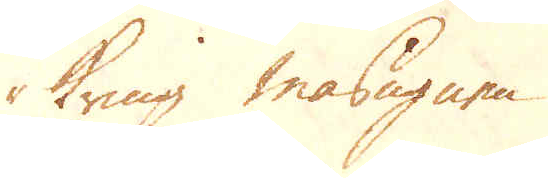kring masugnen.
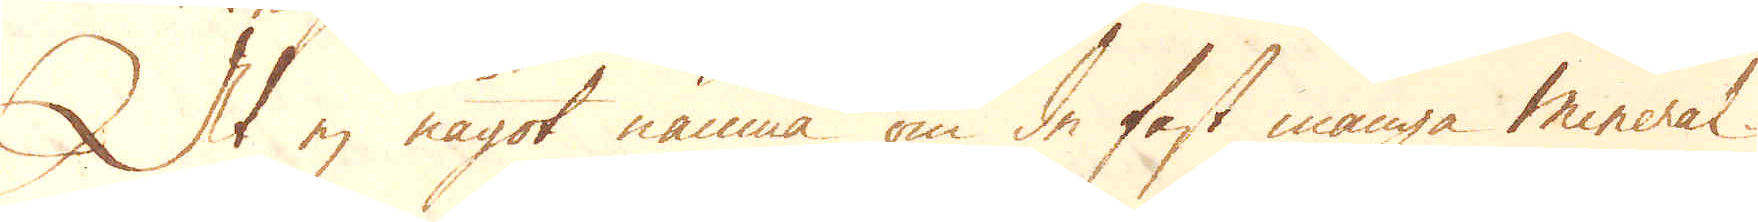At ej något nämna om de fast många mineral
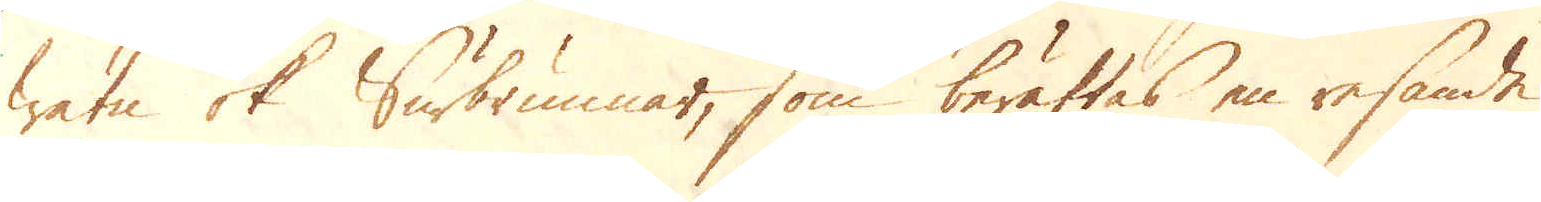watn ok Surbrunnar, som berättas en resande
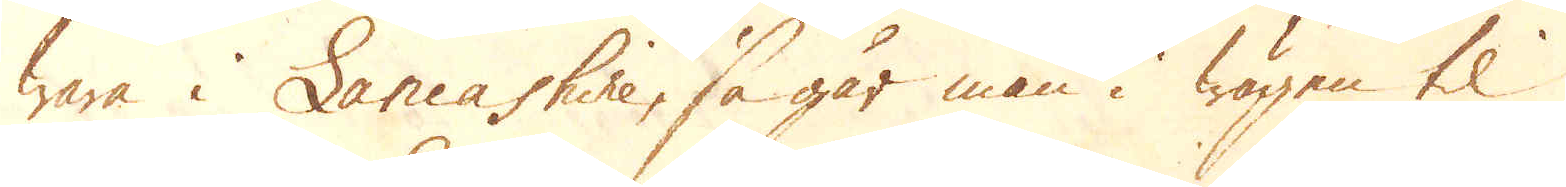wara i Lancashire, så går man i wägen til
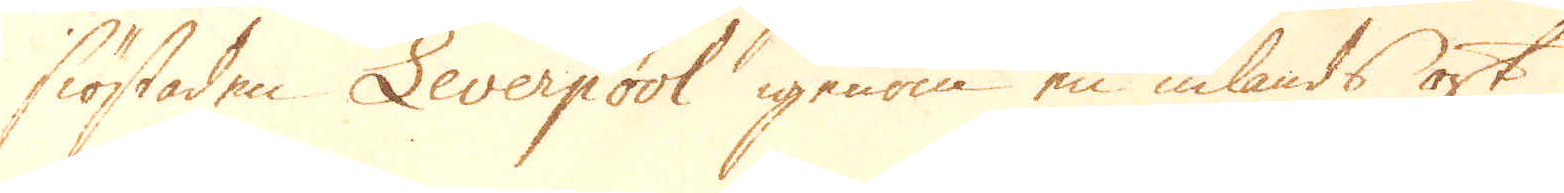siöstaden Leverpool igenom en inlands ort
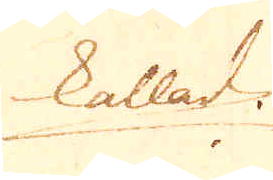kallad
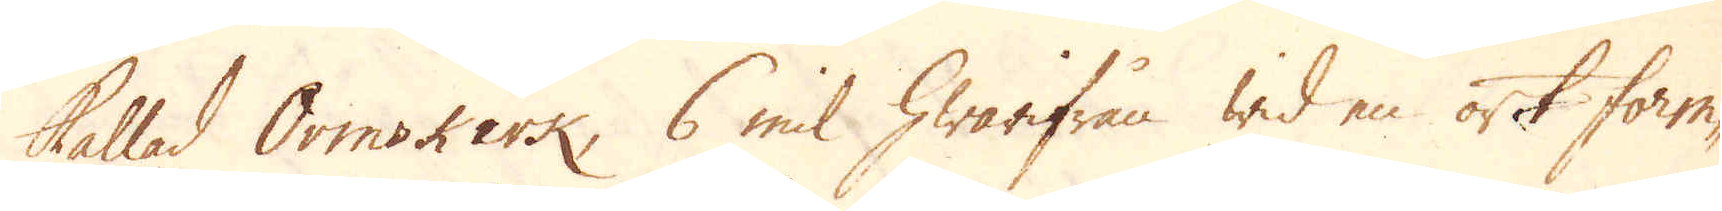Ormskirk, 6 mil hwarifeån wid en ort Form-
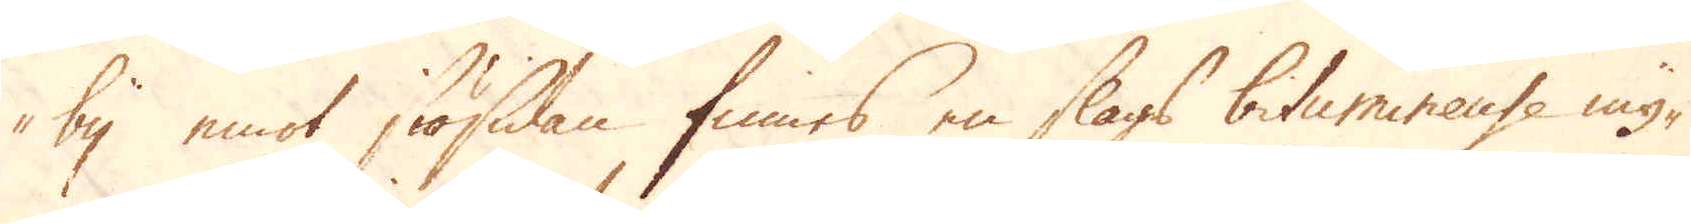by emot siösidan finnes en slags bitumineuse my-
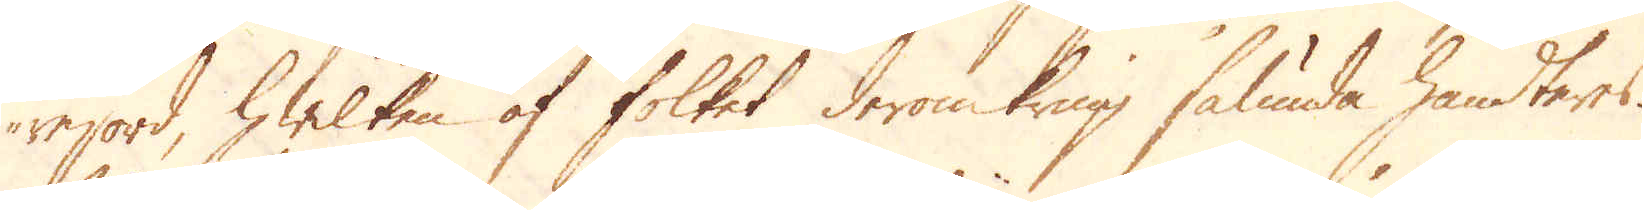rejord, hwilken af folket deromkring sålunda handters.
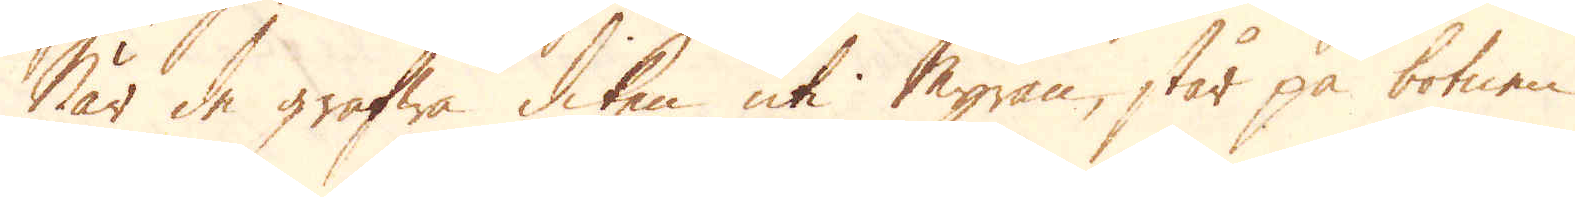När de gräfwa diken uti Myran, står på botnen
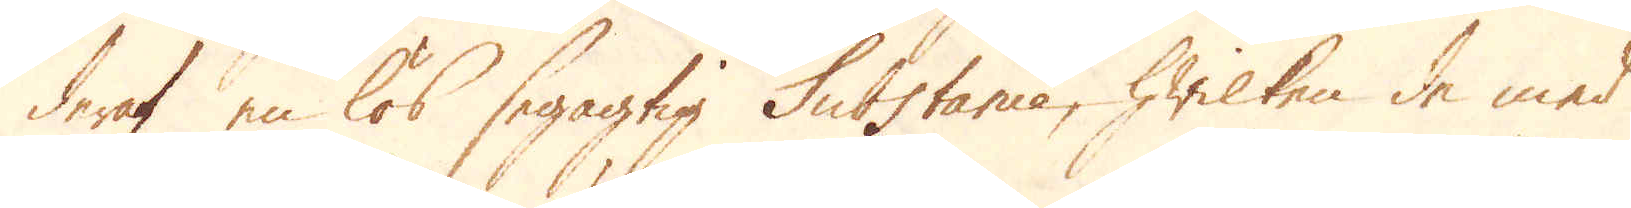deraf en lös segagtig Substance, hwilken de med
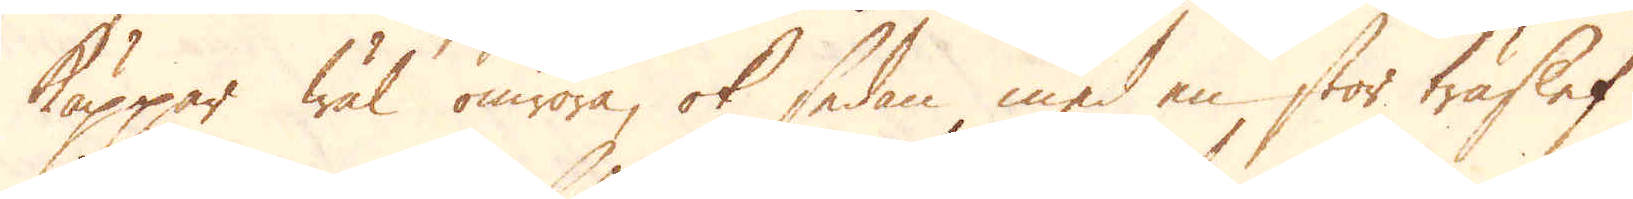Käppar wäl omröra, ok sedan med en stor träslef
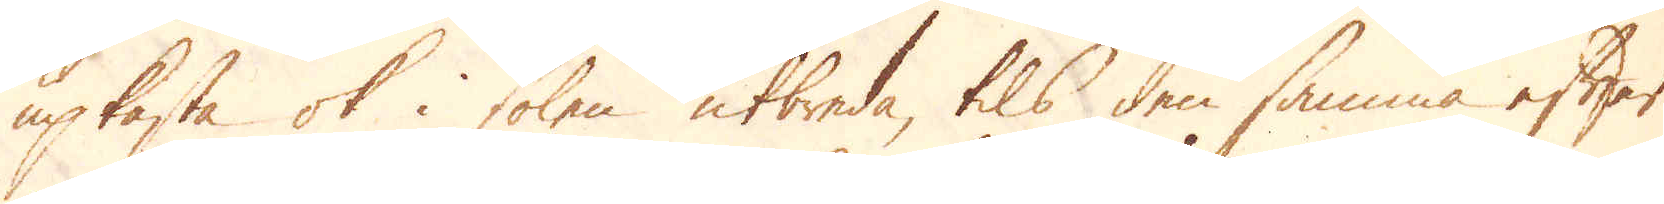upkasta ok i solen utbreda, tils den samma efter
